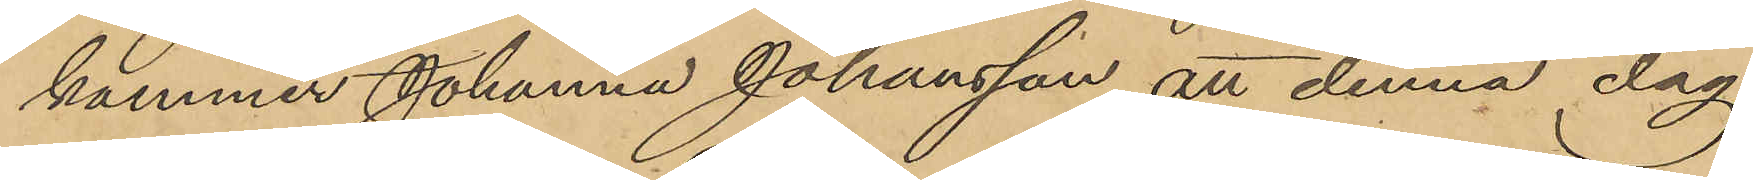kommer Johanna Johansson att denna dag
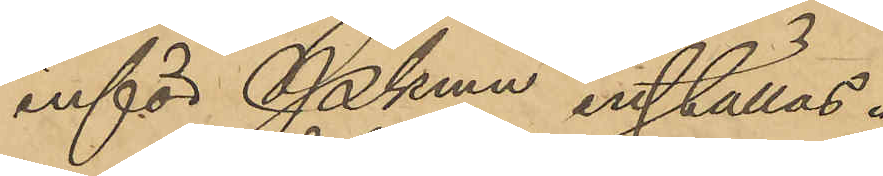inför Pkmn inställas.
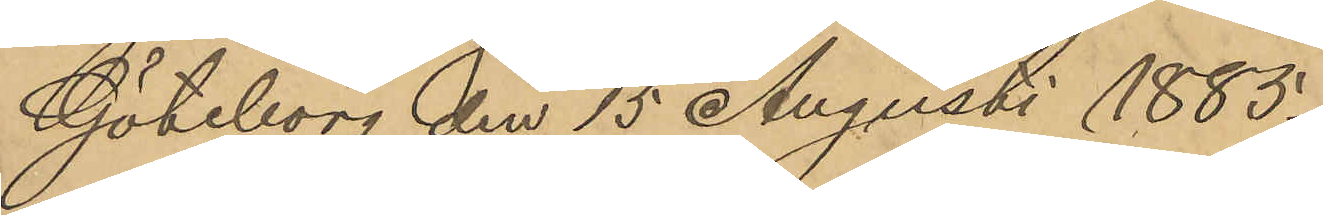Göteborg den 15 Augusti 1885.
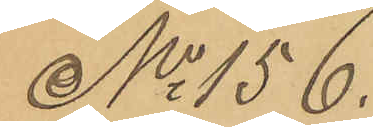No 156.
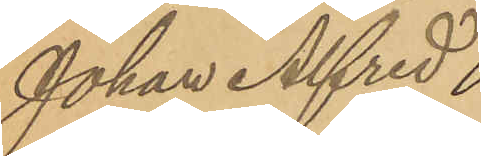Johan Alfred
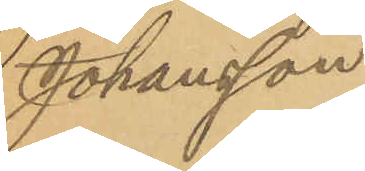Johansson
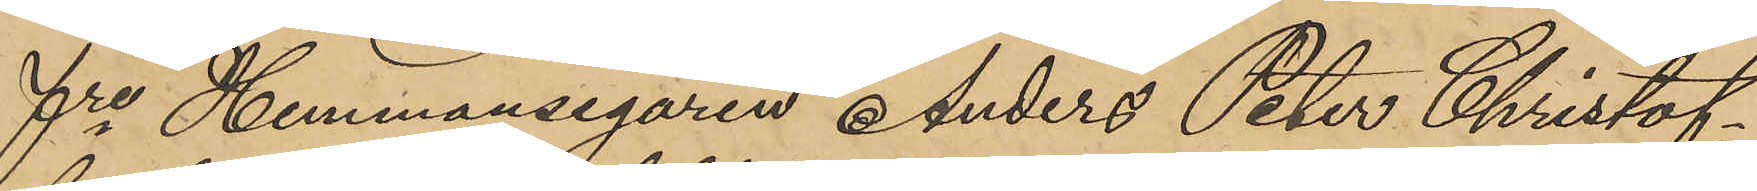Fre Hemmansegaren Anders Peter Christof¬
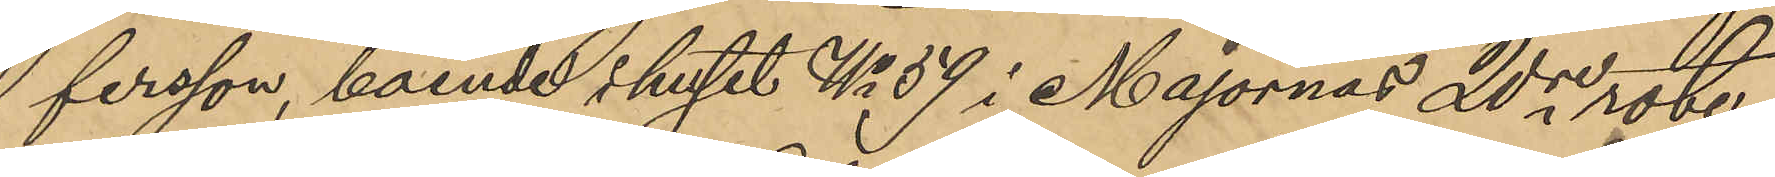fersson, boende i huset No 59 i Majornas 20e rote
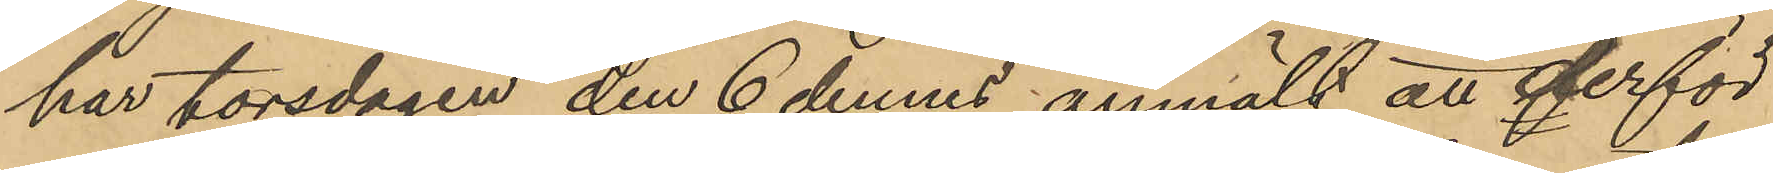har torsdagen den 6 dennes anmält att derför
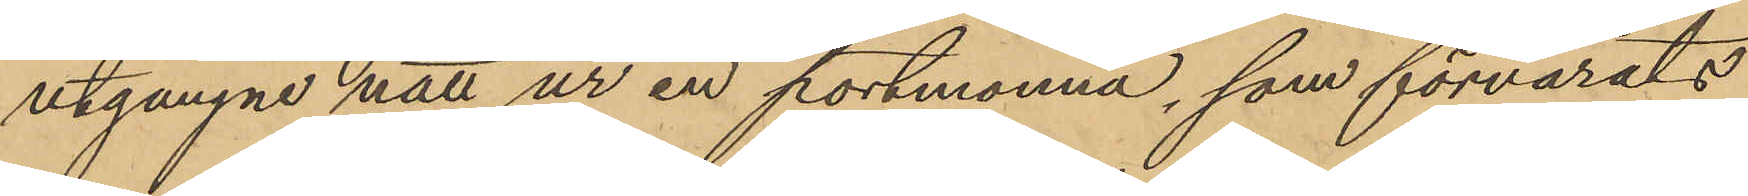utgångne natt ur en portmonnä, som förvarats
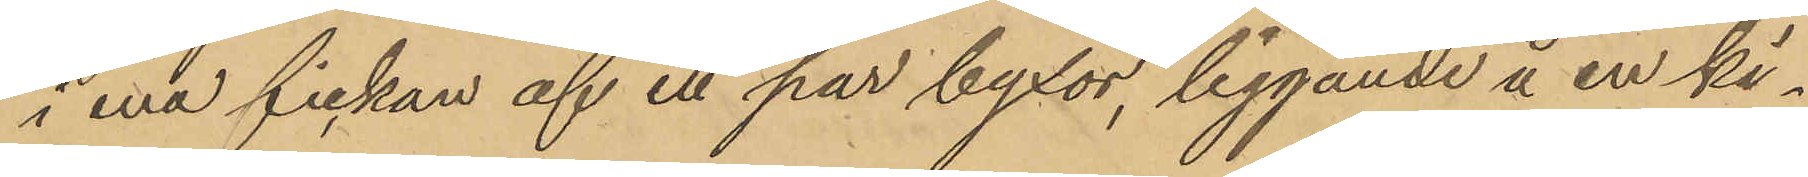i ena fickan af ett par byxor, liggande å en ki¬
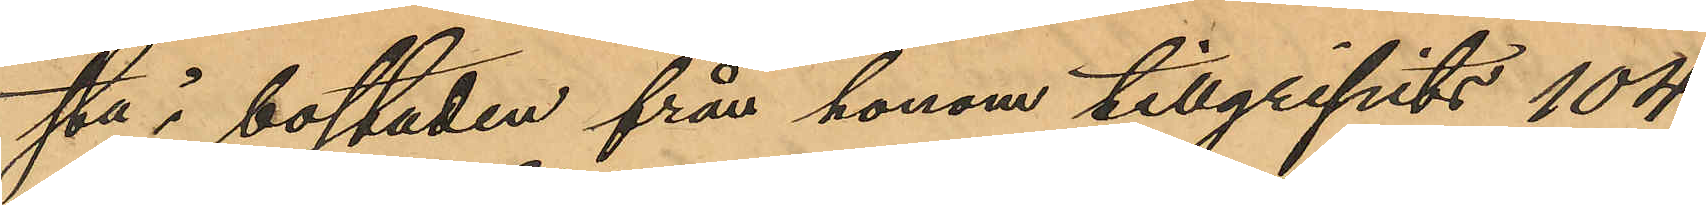sta i bostaden från honom tillgripits 104
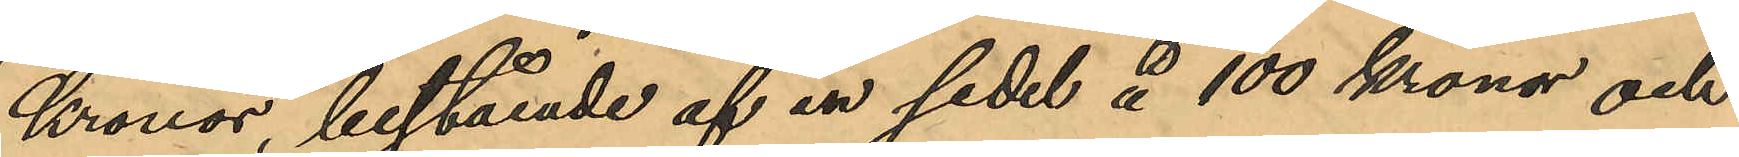Kronor, bestående af en sedel å 100 kronor och
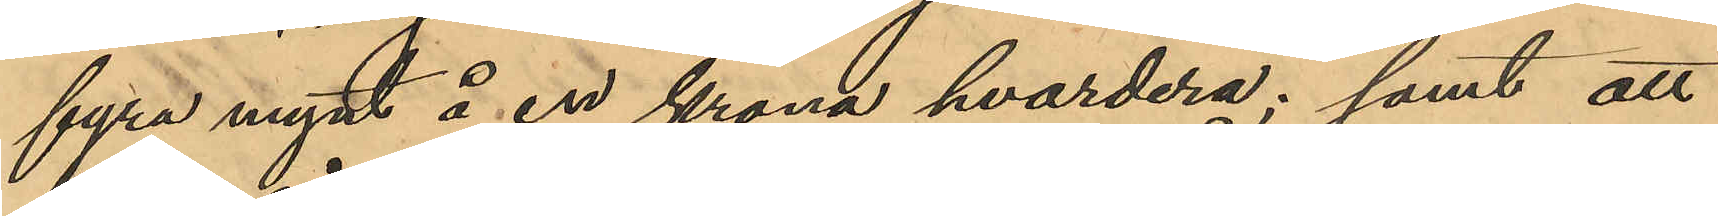fyra mynt å en krona hvardera; samt att
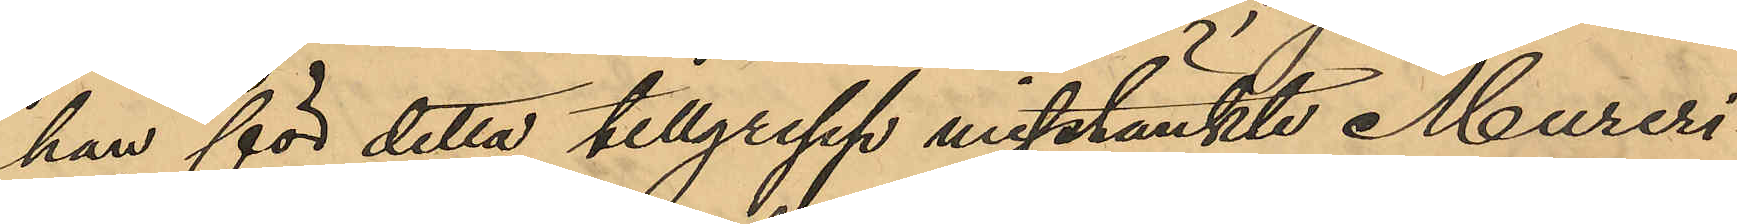han för detta tillgrepp misstänkte Mureri¬
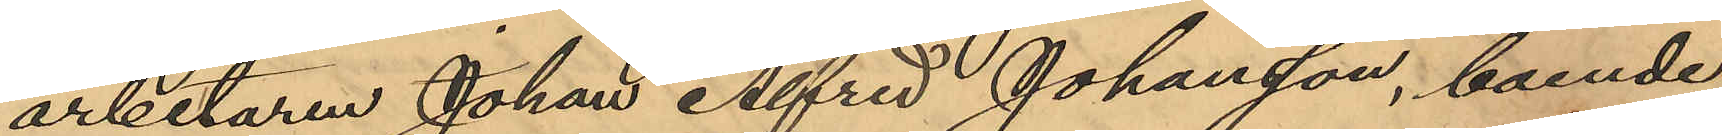arbetaren Johan Alfred Johansson, boende
